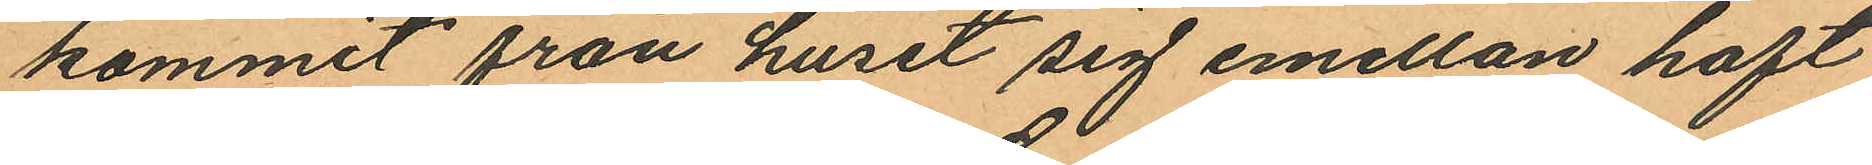kommit från huset sig emellan haft
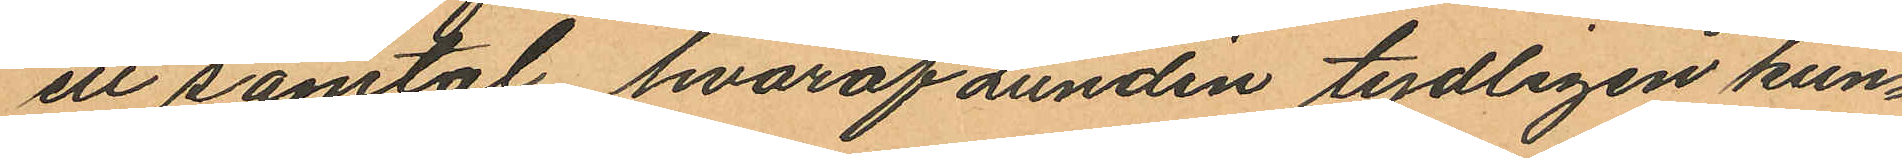ett samtal hvaraf Lundin tydligen kun¬
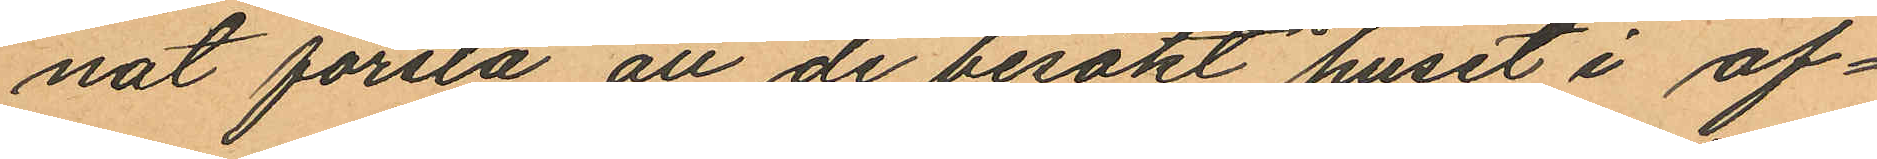nat förstå att de besökt huset i af¬
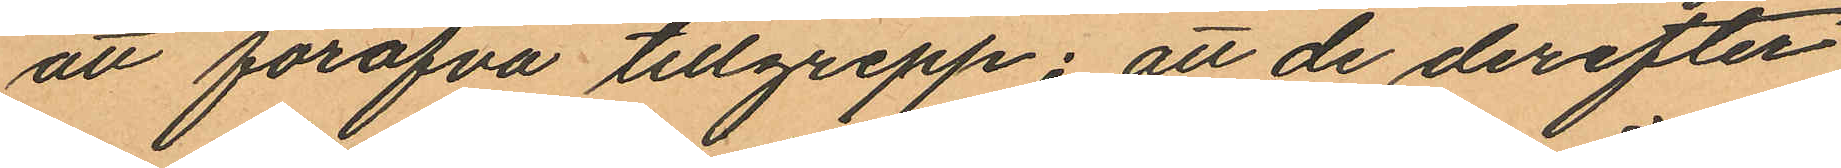att föröfva tillgrepp; att de derefter
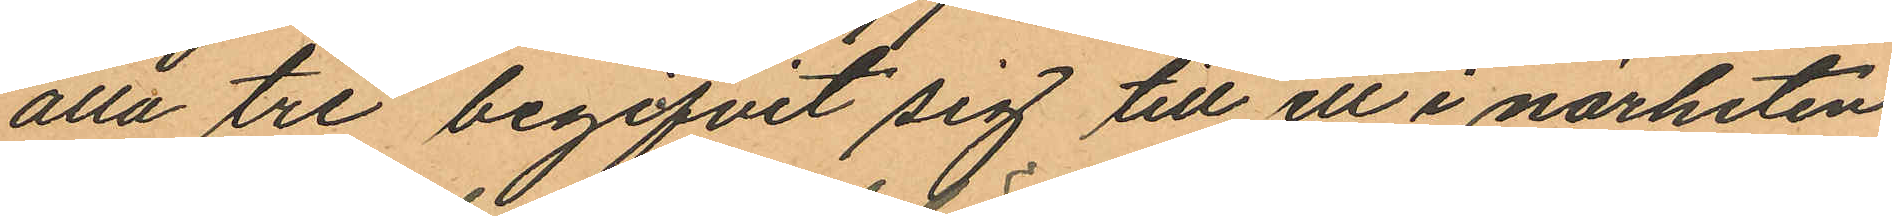alla tre begifvit sig till ett i närheten
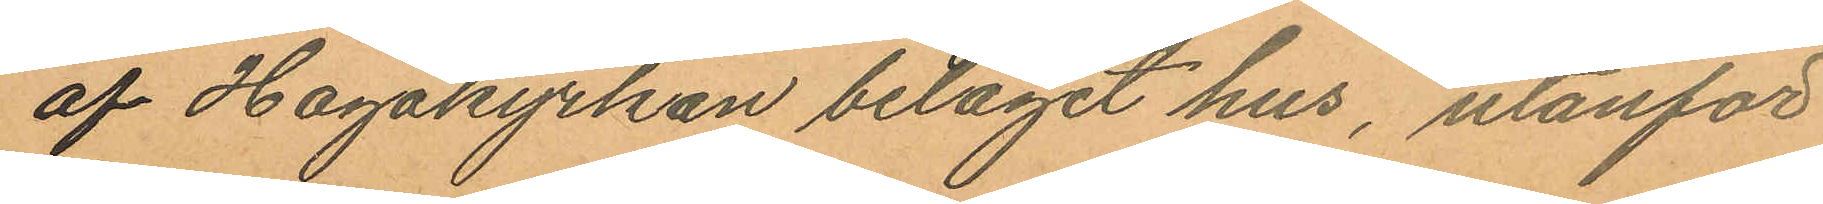af Hagakyrkan beläget hus, utanför
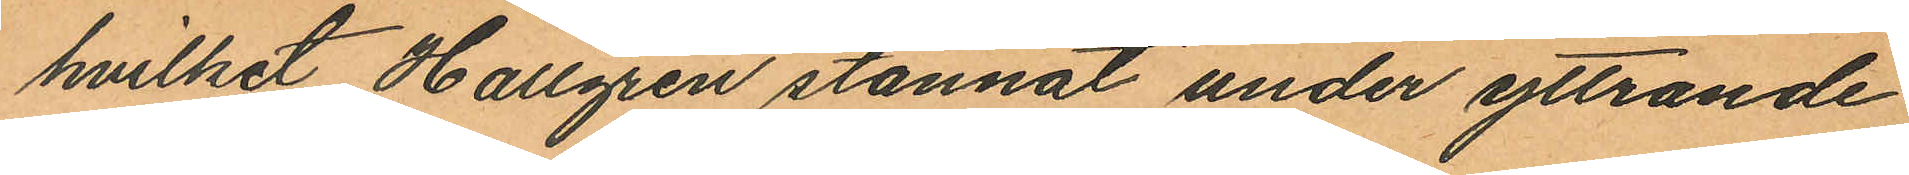hvilket Hallgren stannat under yttrande
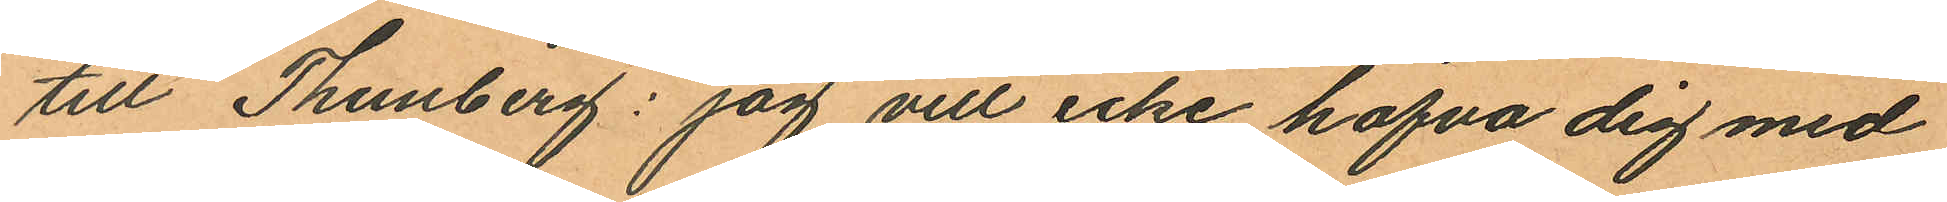till Thunberg: "jag vill icke hafva dig med
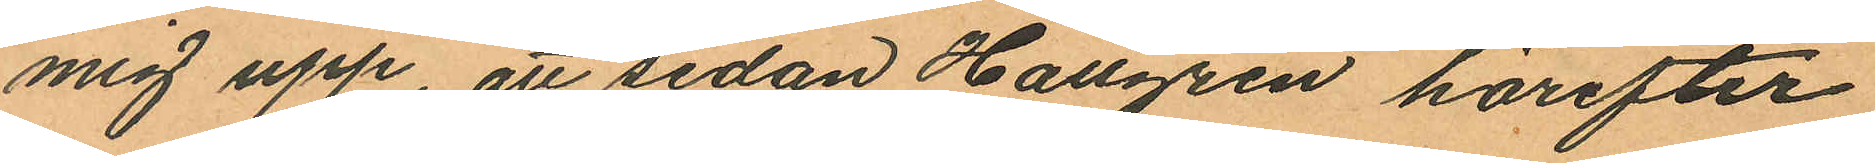mig upp, att sedan Hallgren härefter
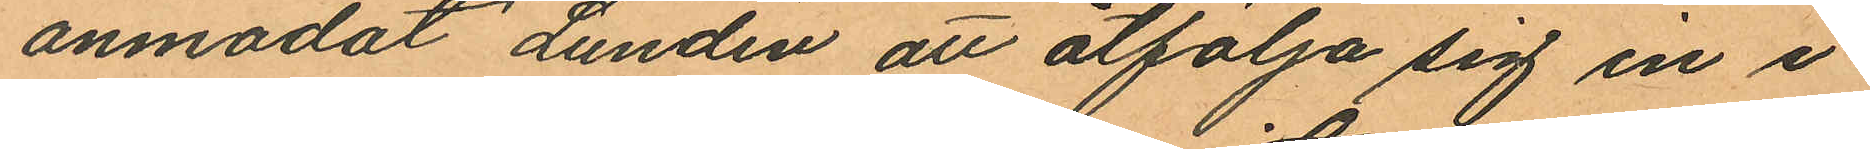anmodat Lundin att åtfölja sig in i
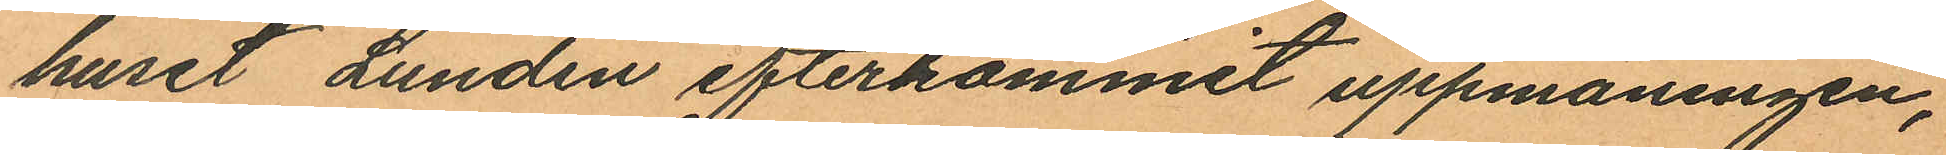huset Lundin efterkommit uppmaningen,
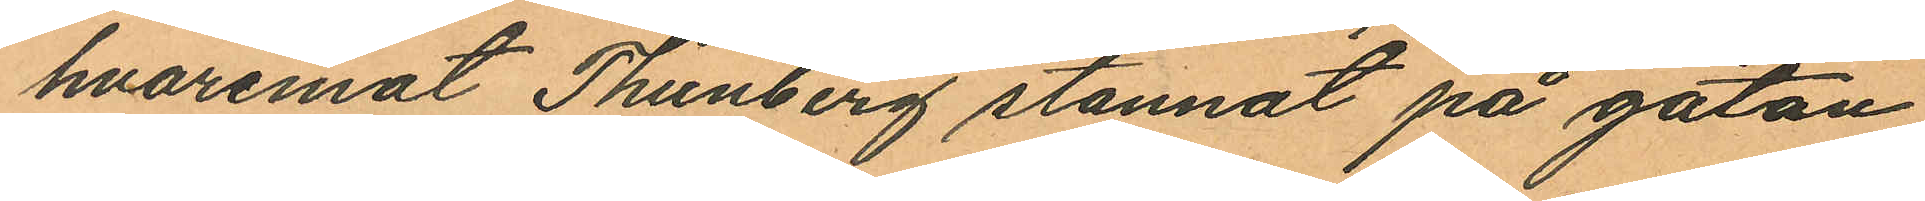hvaremot Thunberg stannat på gatan,
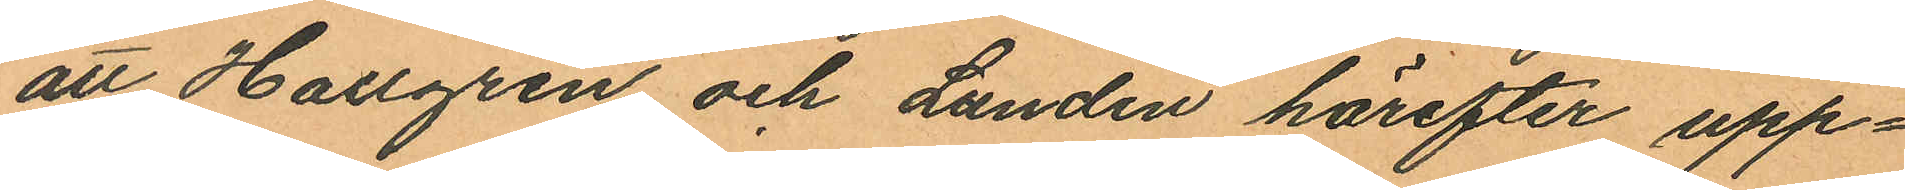att Hallgren och Lundin härefter upp¬
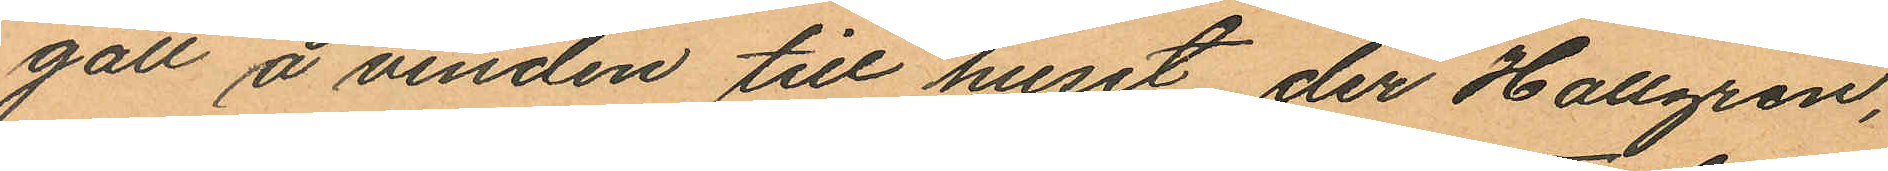gått å vinden till huset der Hallgren,
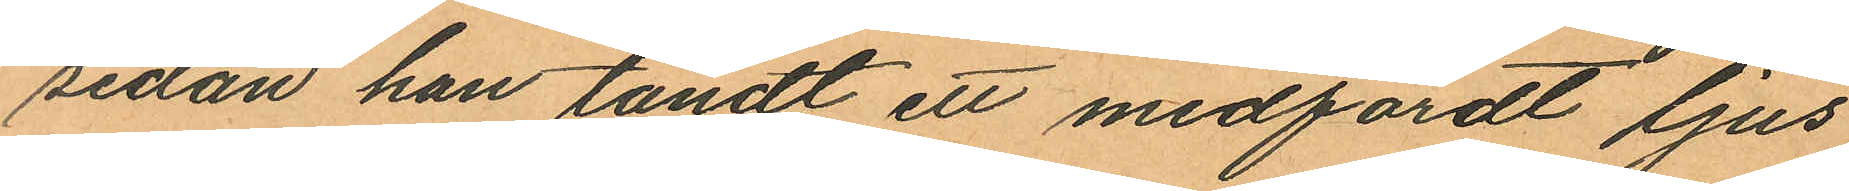sedan han tändt ett medfördt ljus
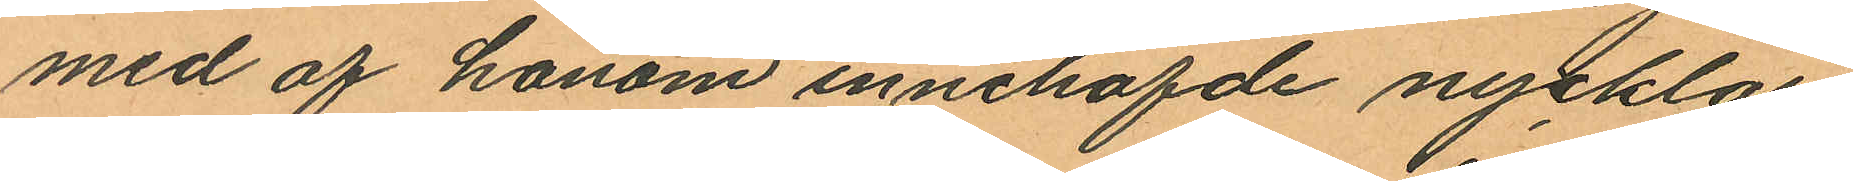med af honom innehafde nycklar
